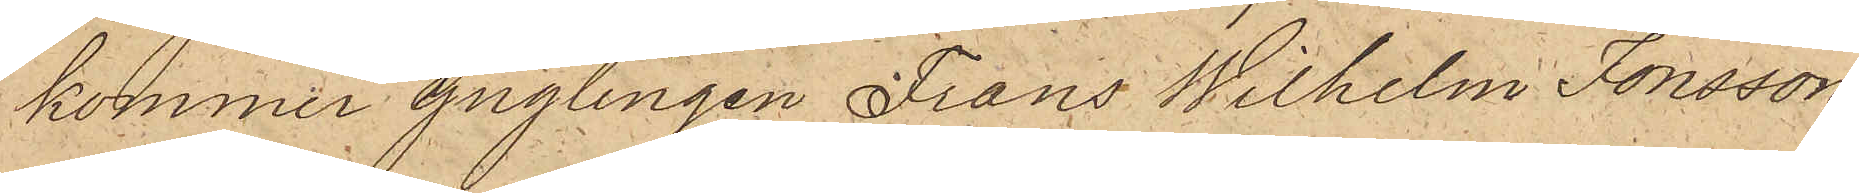kommer ynglingen Frans Wilhelm Jonsson
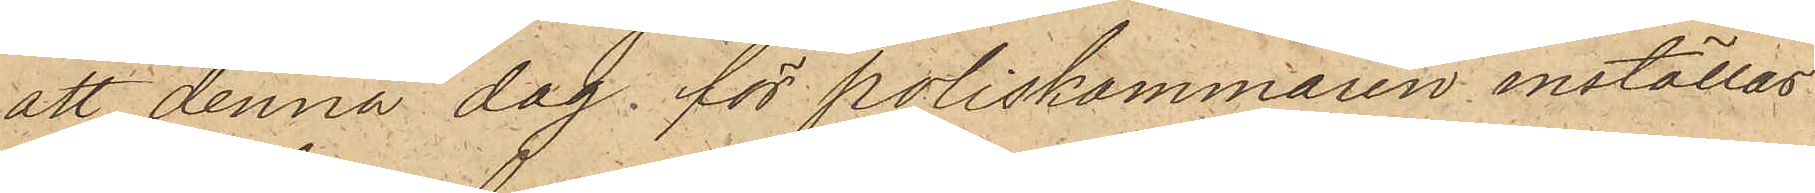att denna dag för poliskammaren inställas.
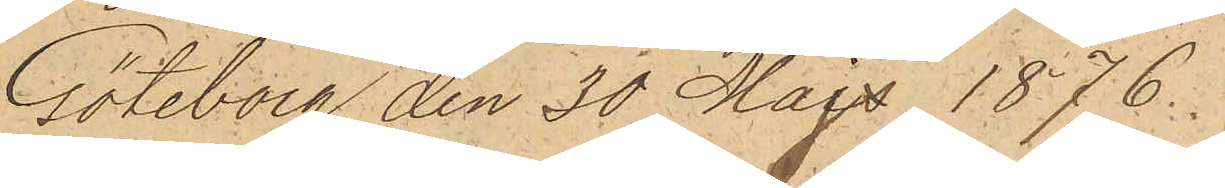Göteborg den 20 Majs 1876.
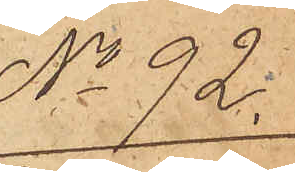No 92.
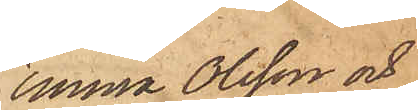Emma Olsson och
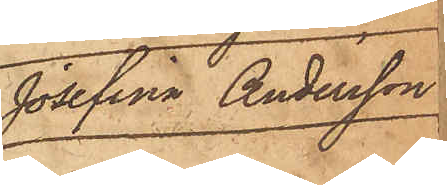Josefina Andersson.
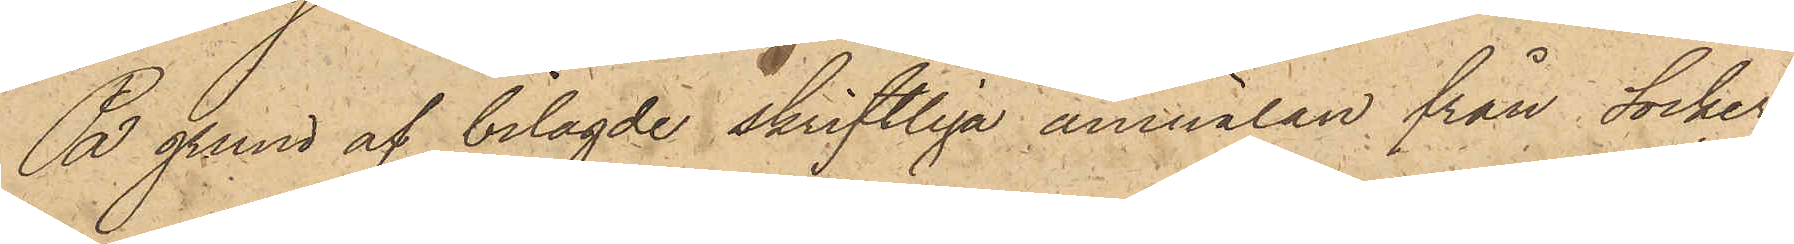På grund af bilagde skriftliga anmälan från Socker¬
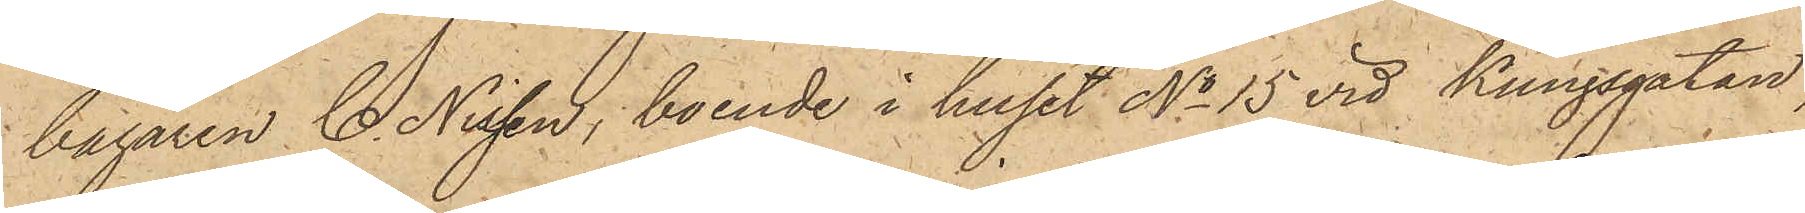bagaren C. Nissen, boende i huset No 15 vid Kungsgatan,
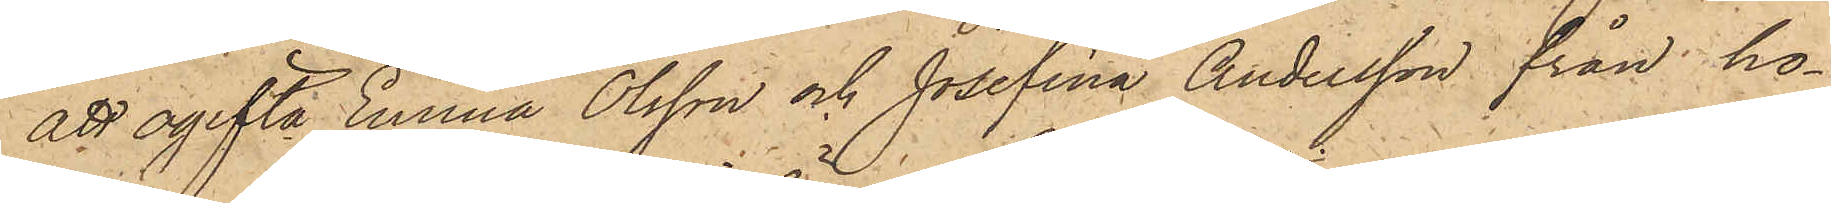att ogifta Emma Olsson och Josefina Andersson från ho¬
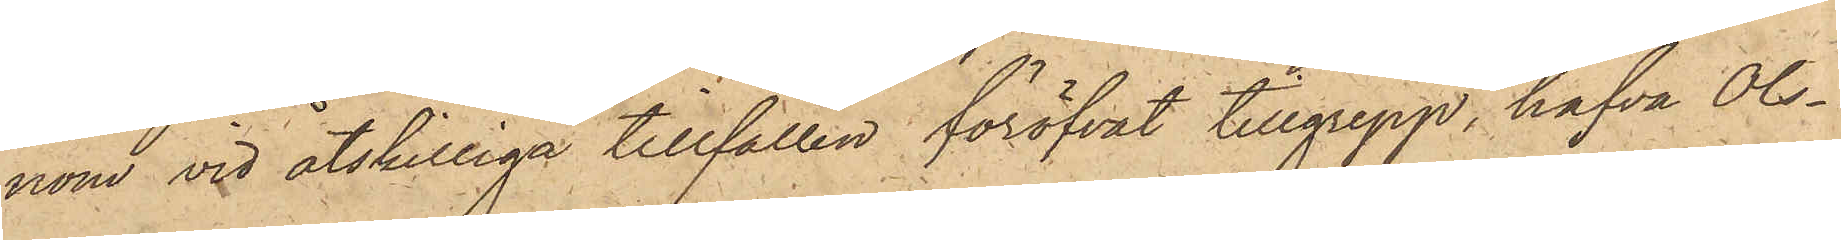nom vid åtskilliga tillfällen föröfvat tillgrepp, hafva Ols¬
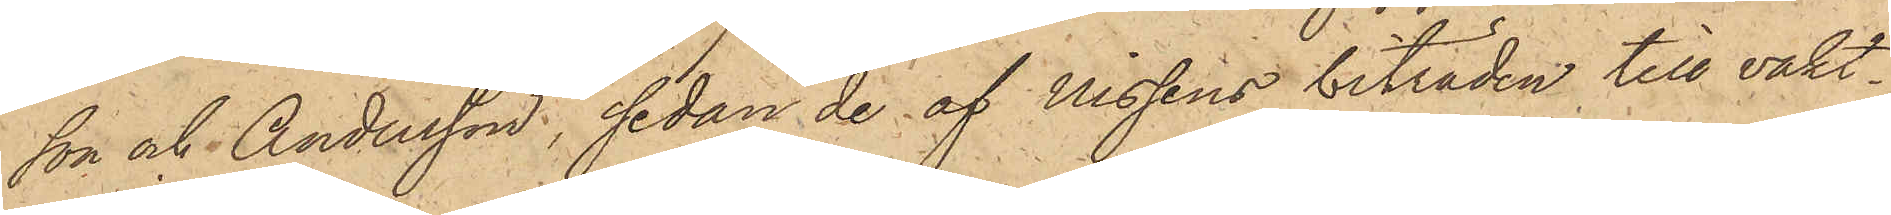son och Andersson, sedan de af Nissens biträden till vakt¬
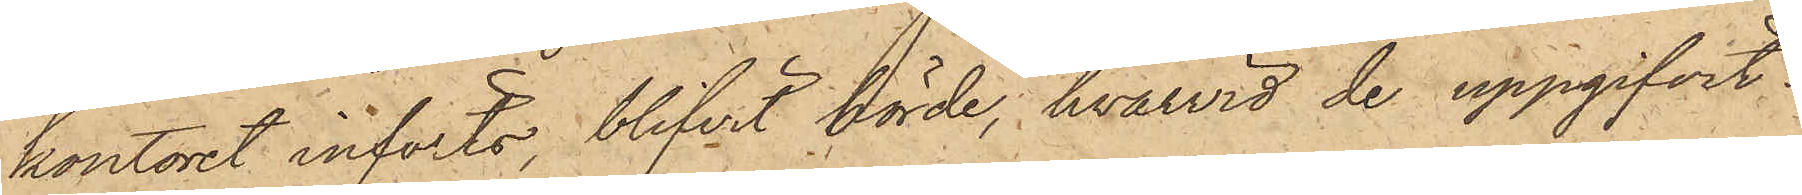kontoret införts, blifvit hörde, hvarvid de uppgifvit:
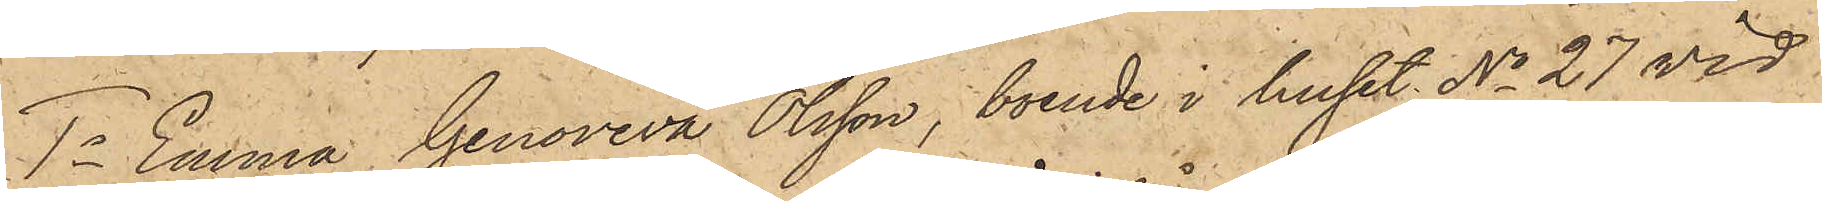1o Emma Genoveva Olsson, boende i huset No 27 vid
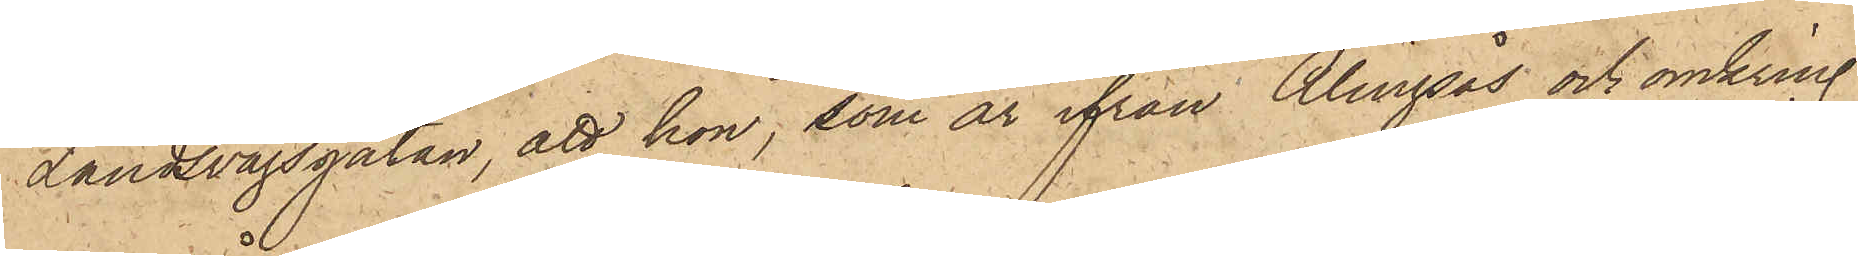Landsvägsgatan, att hon, som är ifrån Alingsås och omkring
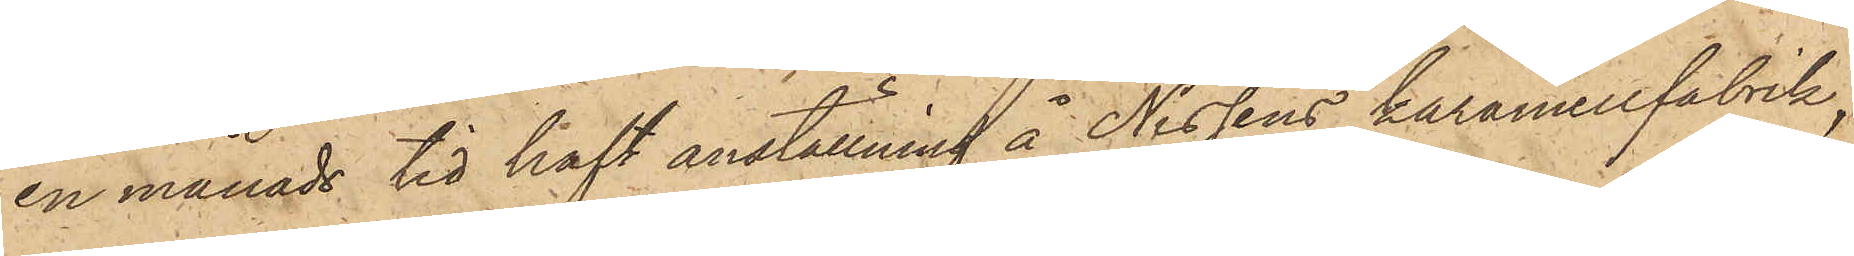en månads tid haft anställning å Nissens karamellfabrik,
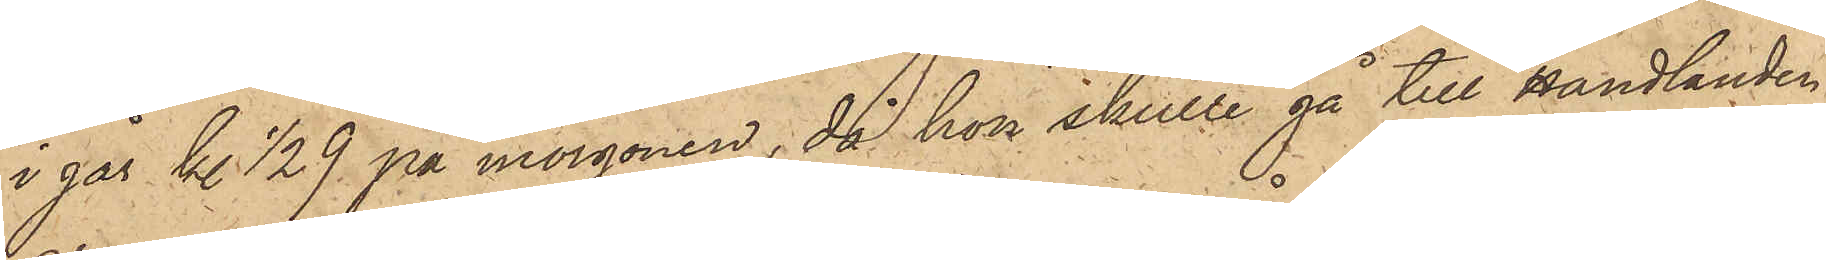i går kl. ½9 på morgonen, då hon skulle gå till Handlanden
